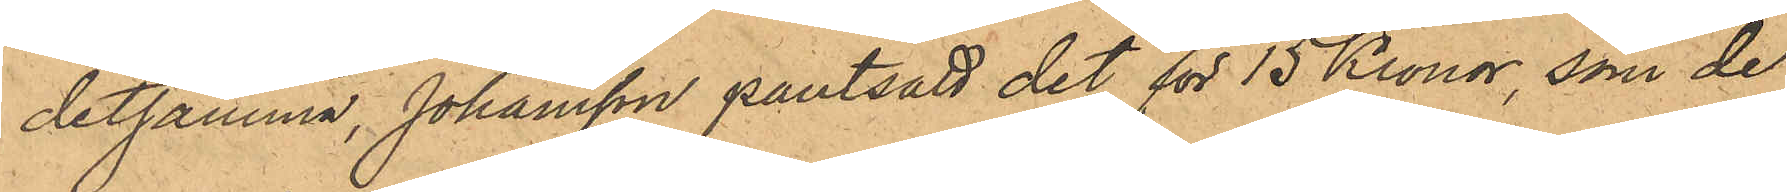detsamma, Johansson pantsatt det för 15 Kronor, som de
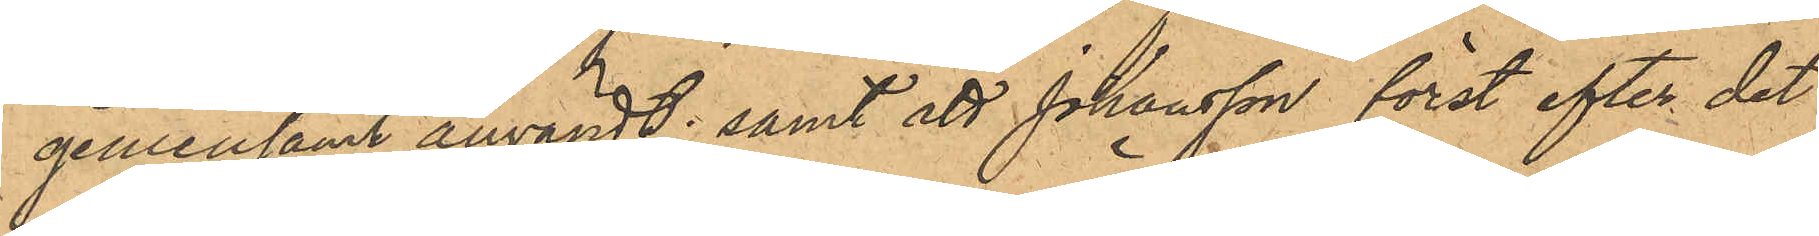gemensamt användt; samt att Johansson först efter det
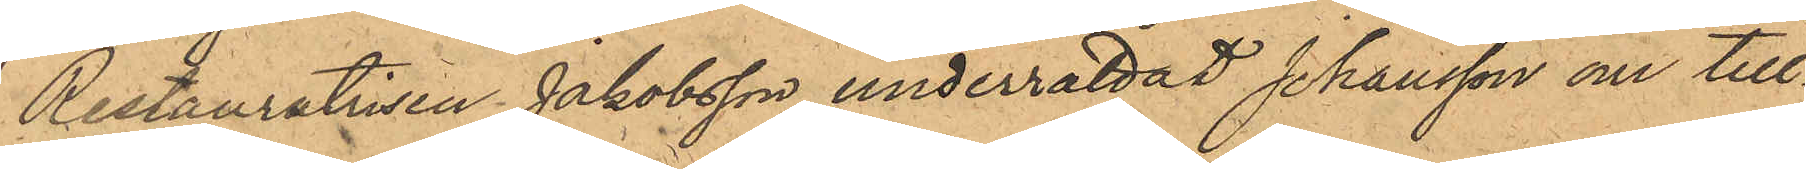Restauratrisen Jakobsson underrättat Johansson om till¬
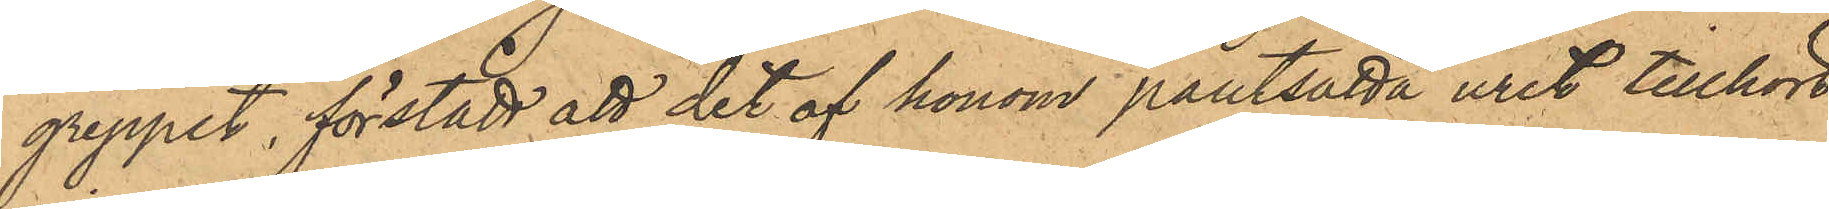greppet, förstådt att det af honom pantsatta uret tillhört
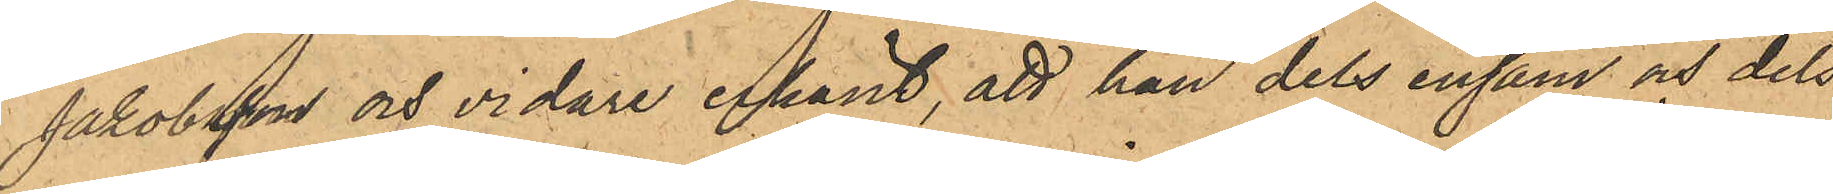Jakobsson och vidare erkänt, att han dels ensam och dels
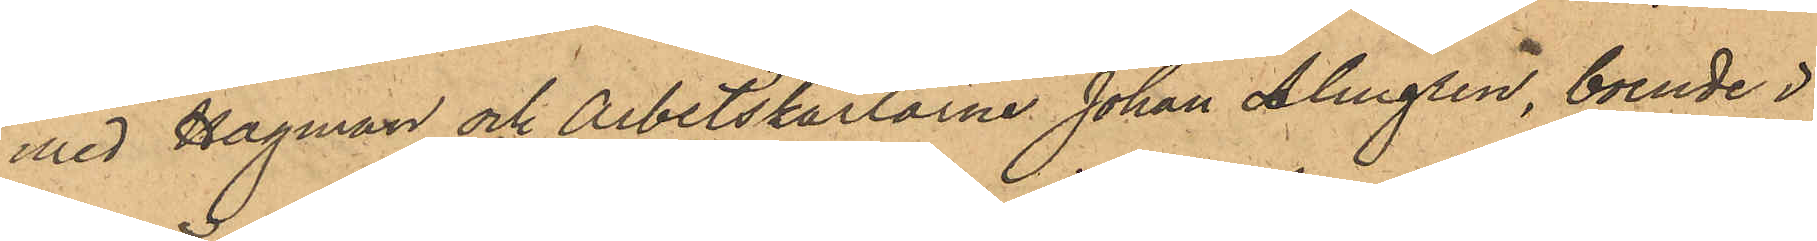med Hagman och Arbetskarlarne Johan Almgren, boende i
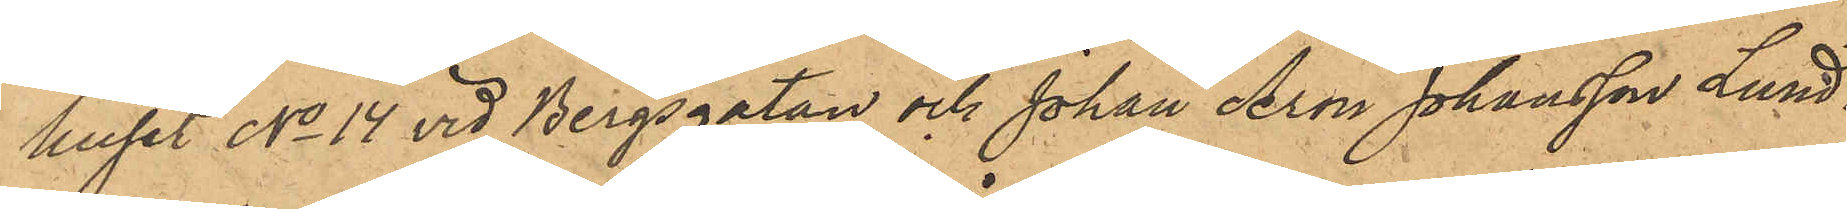huset No 14 vid Bergsgatan och Johan Aron Johansson Lund¬
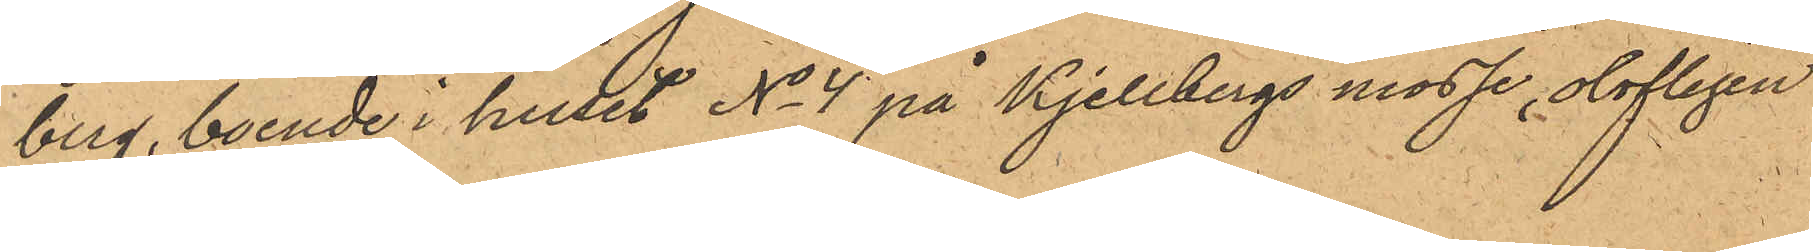berg, boende i huset No 4 på Kjellbergs mosse, olofligen
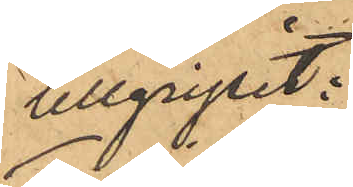tillgripit:
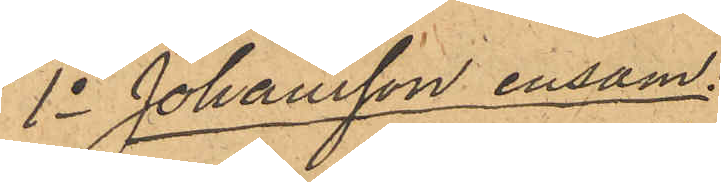1o Johansson ensam:
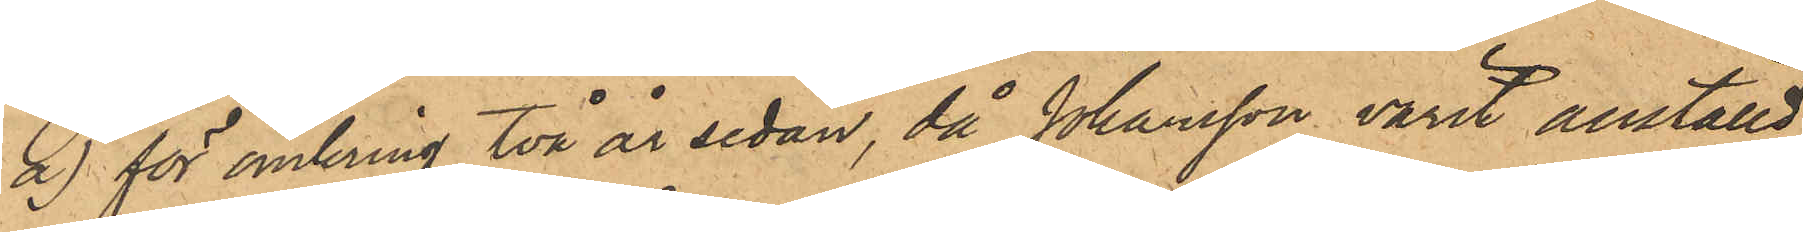a) för omkring två år sedan, då Johansson varit anställd
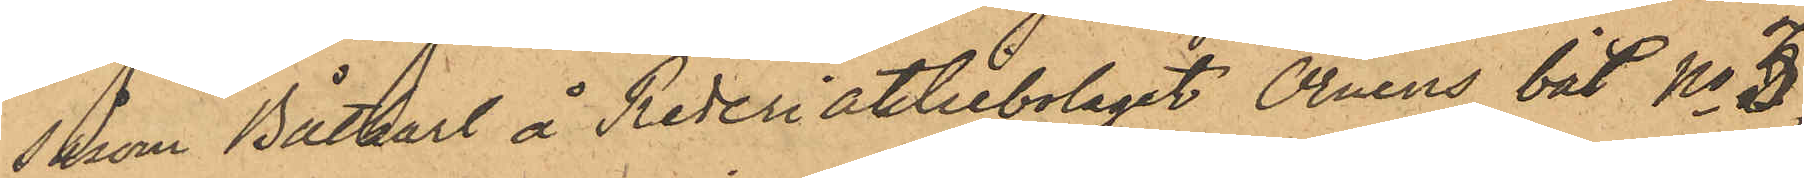såsom Båtkarl å Rederiaktiebolaget Örnens båt No 3,
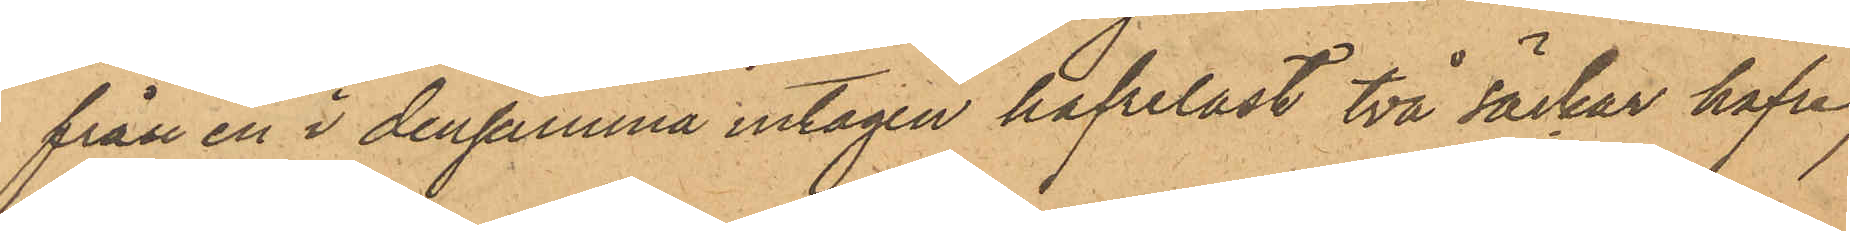från en i densamma intagen hafrelast två säckar hafre,
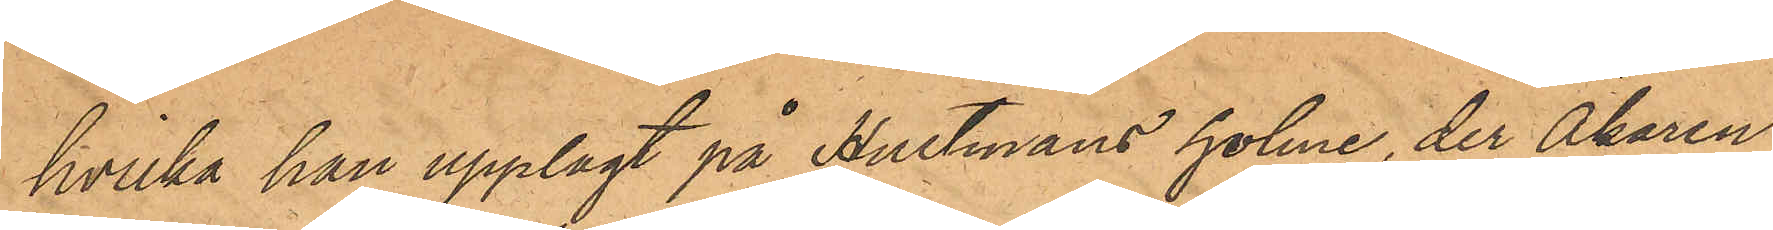hvilka han upplagt på Hultmans holme, der Åkaren
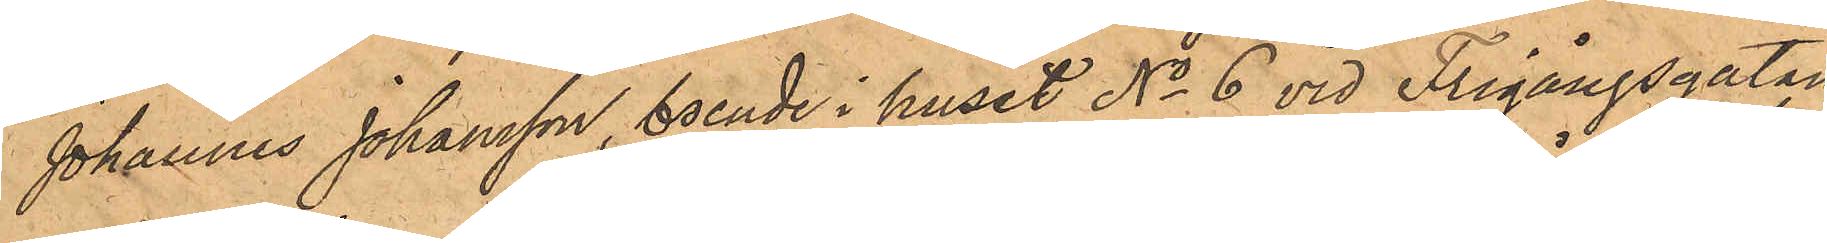Johannes Johansson, boende i huset No 6 vid Frigångsgatan,
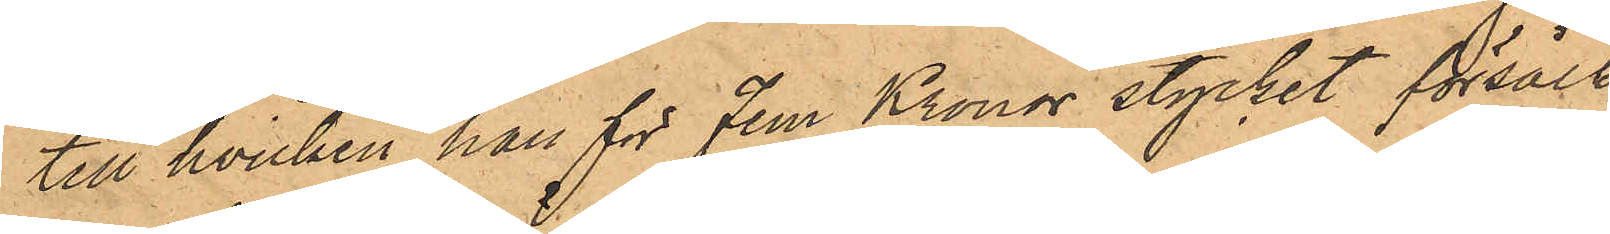till hvilken han för Fem Kronor stycket försålt
